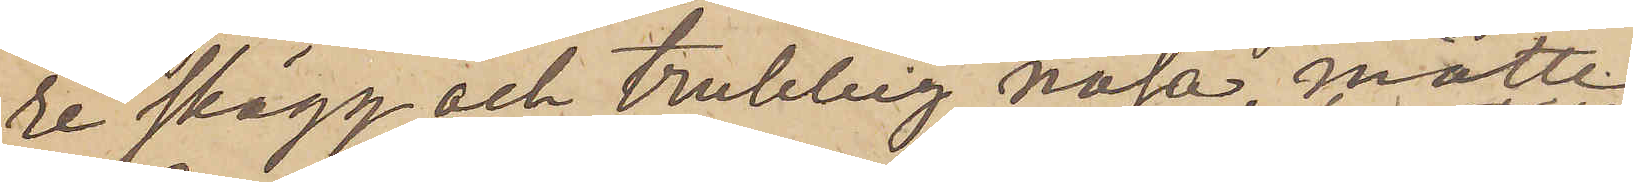re skägg och trubbig näsa, måtte
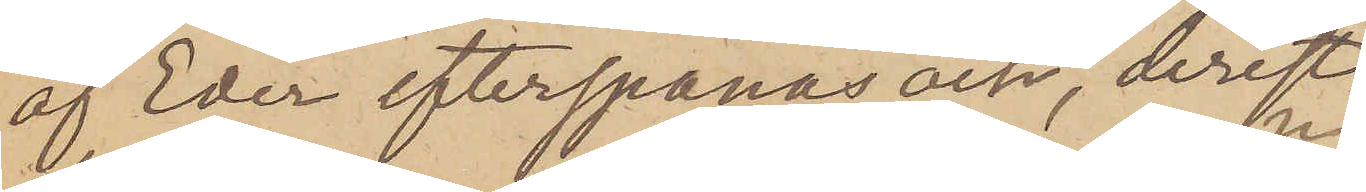af Eder efterspanas och, derest
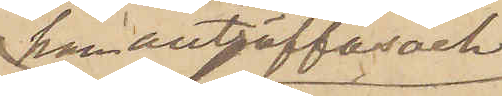han anträffas och
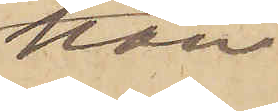kan
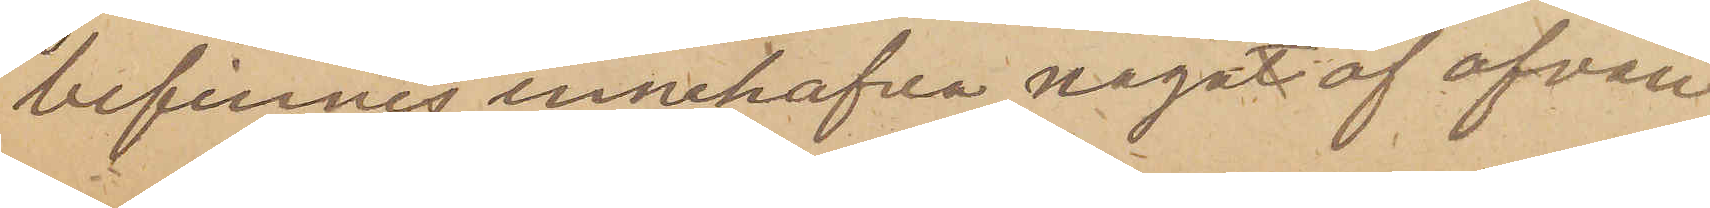befinnes innehafva någon af ofvan
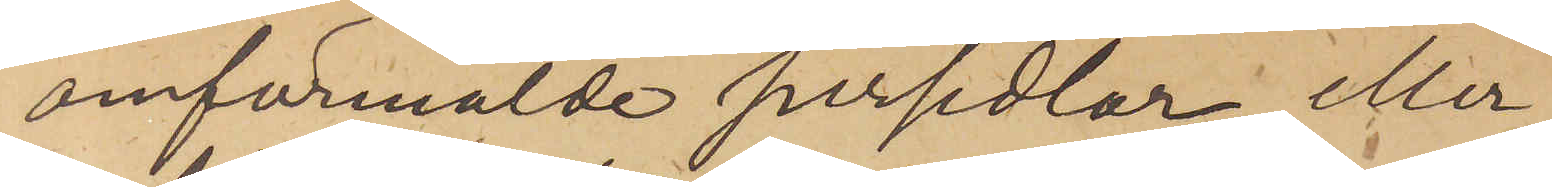omförmälde persedlar eller
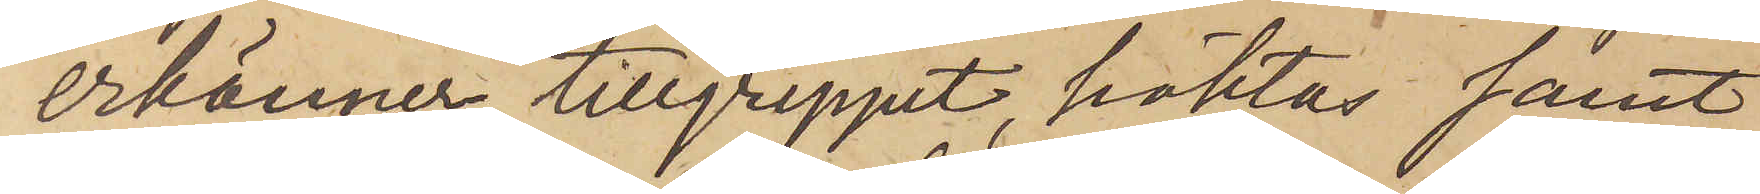erkänner tillgreppet, häktas samt
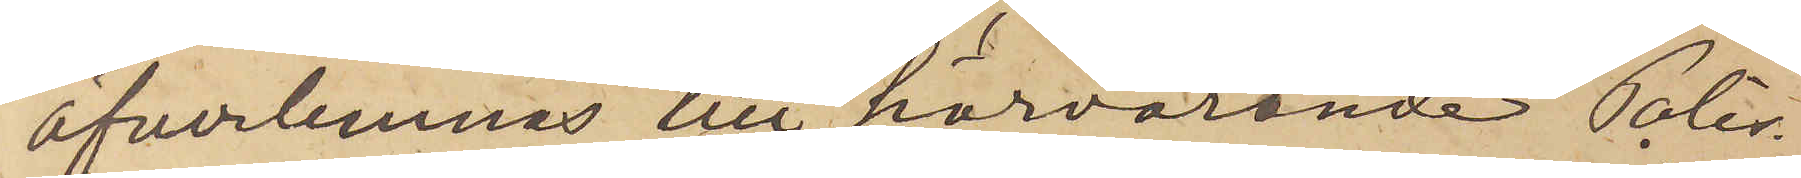öfverlemnas till härvarande Polis¬
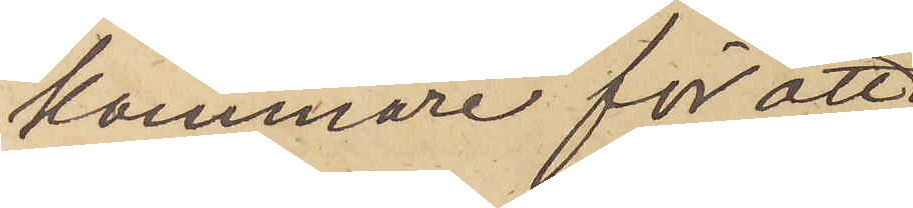kammare för att
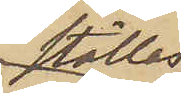ställas
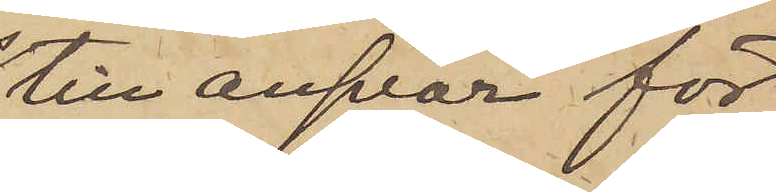till ansvar för
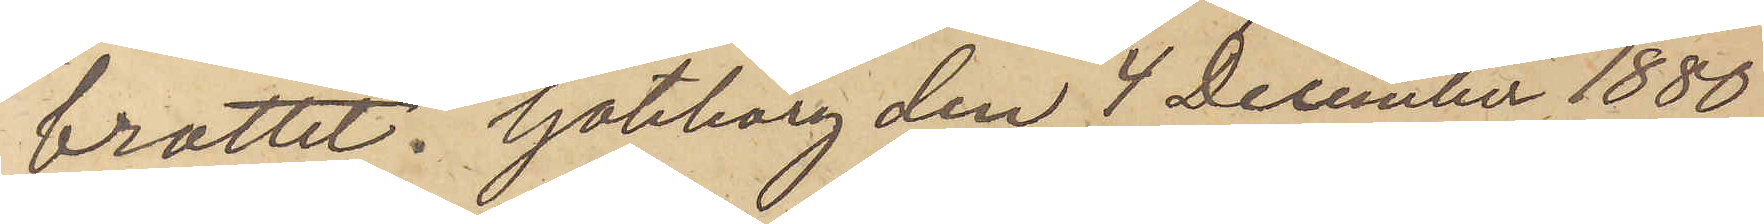brottet. Göteborg den 4 December 1880.
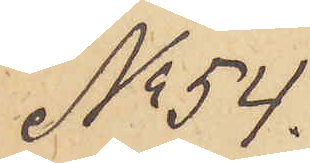No 54.
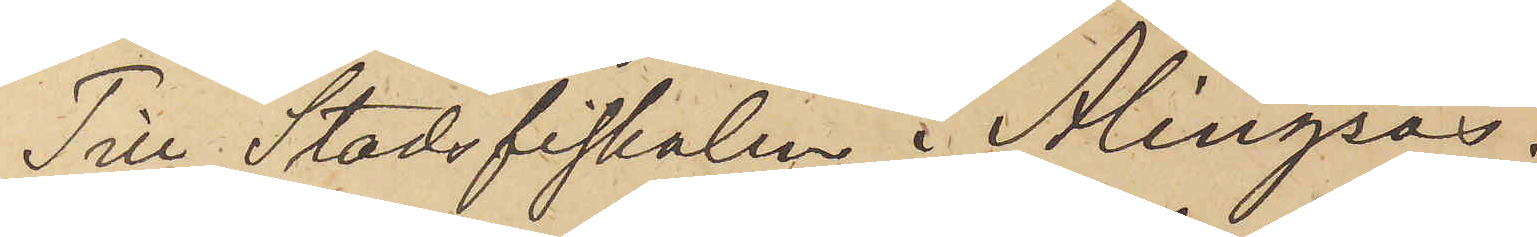Till Stadsfiskalen i Alingsås.
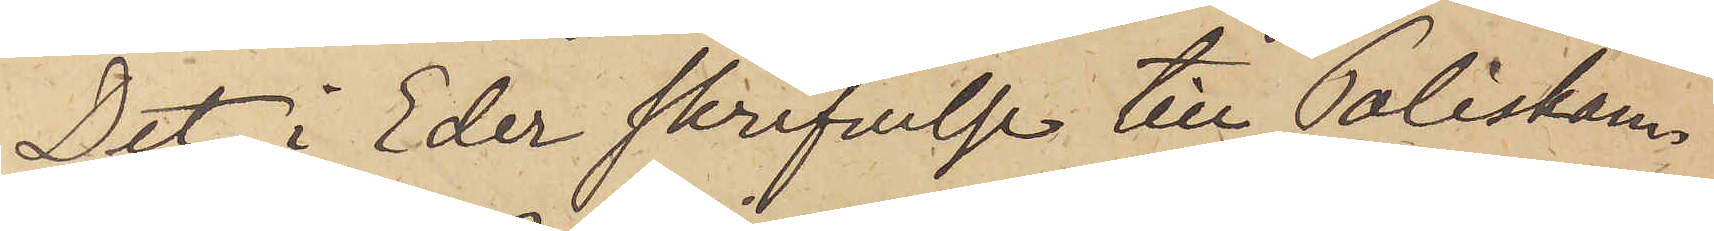Det i Eder skrifvelse till Poliskam¬
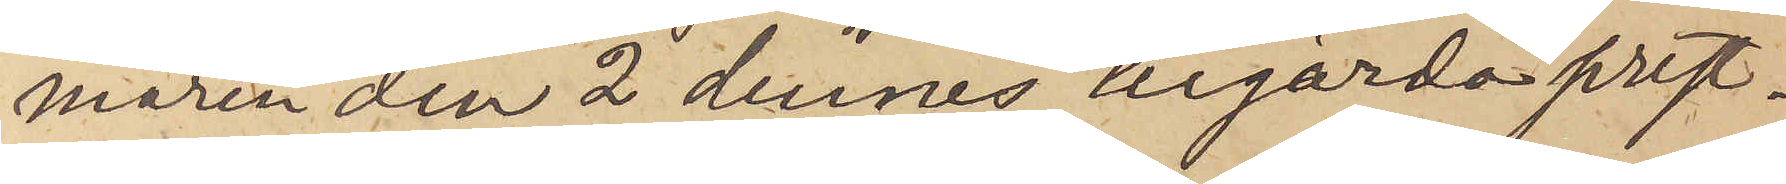maren den 2 dennes begärda prest¬
